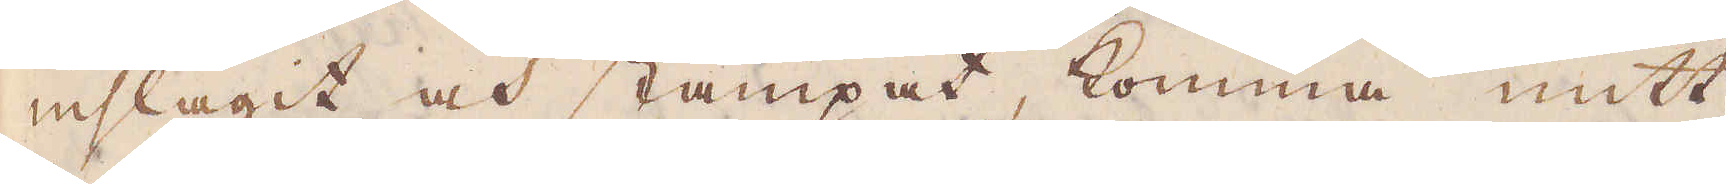inslagit och stampat, komma mitt
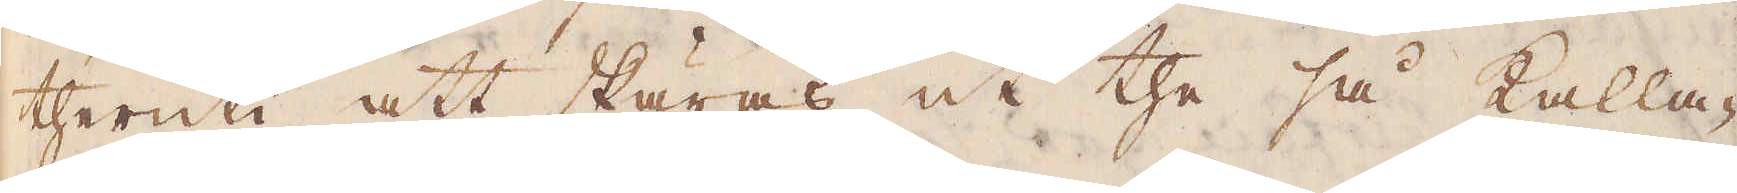theruti att skäras ut the så kalla-
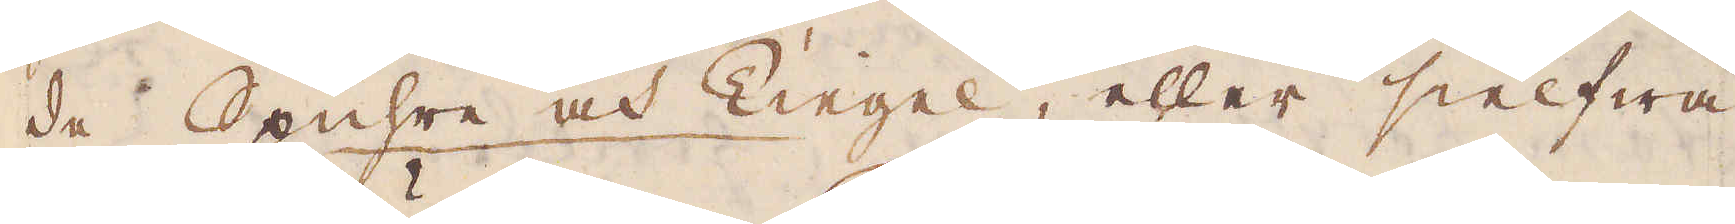de Spuhre och Kiegel, eller sielfwa
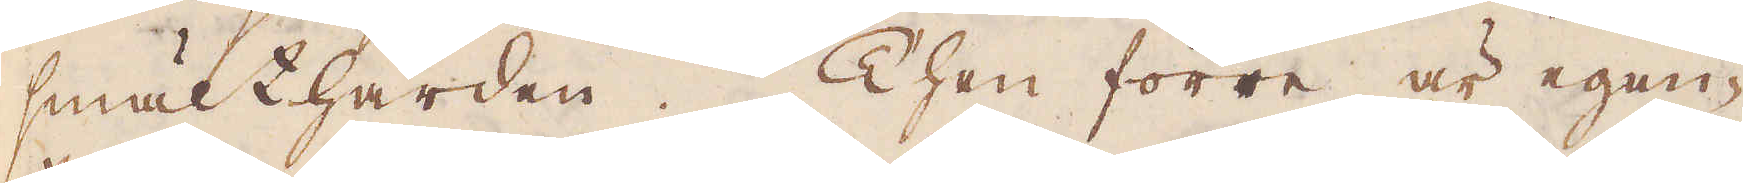smälthärden. Then förre är egen-
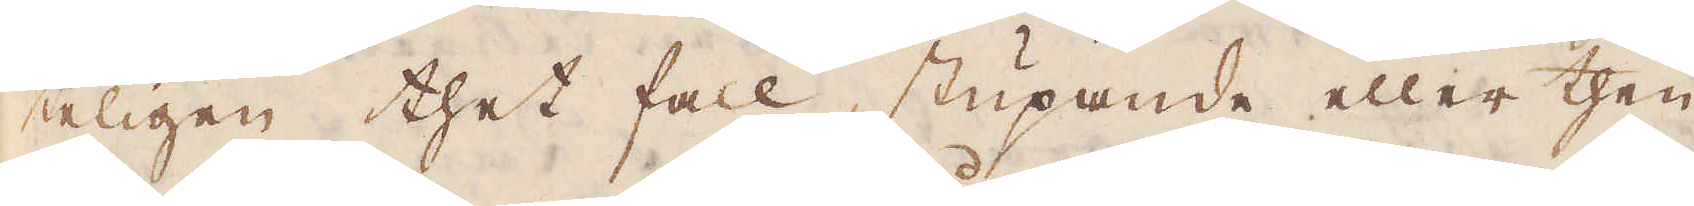teligen thet fall, stupande eller then
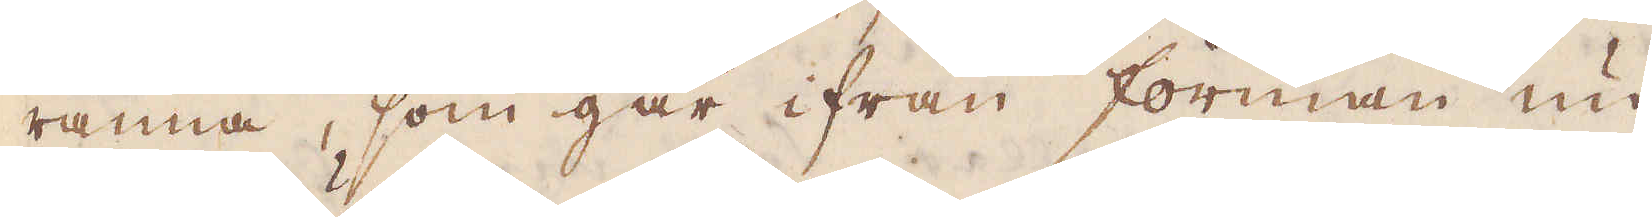ränna, som går ifrån forman un-
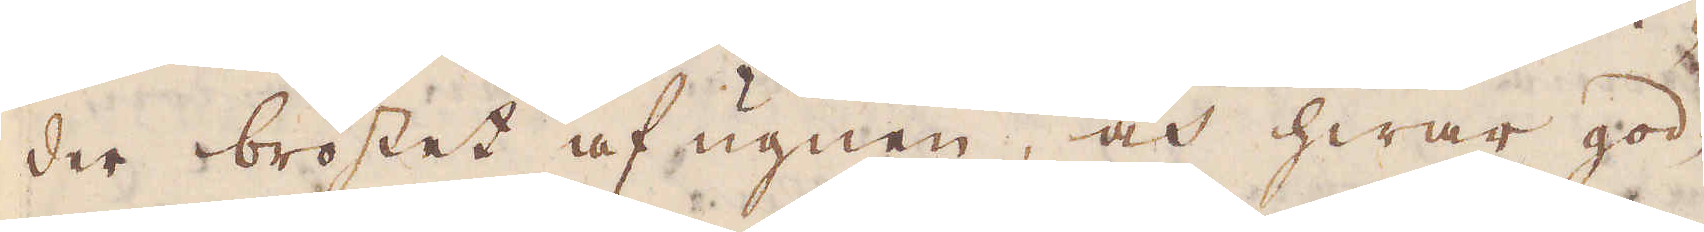der bröstet af ugnen, och hwar god-
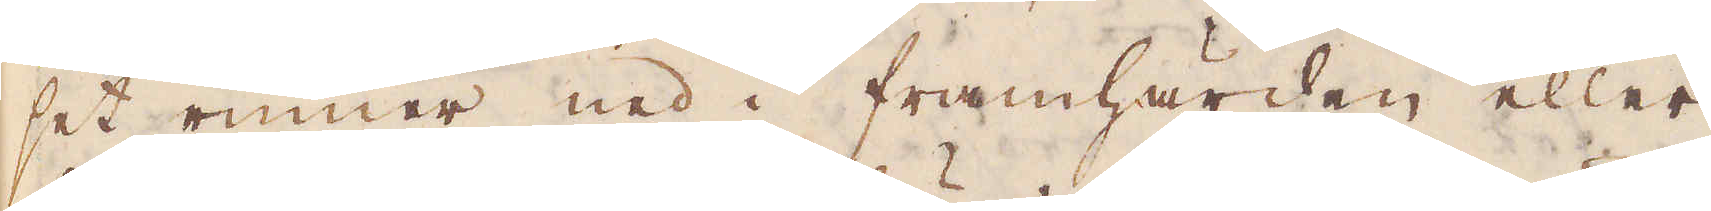set rinner ned i framhärden eller
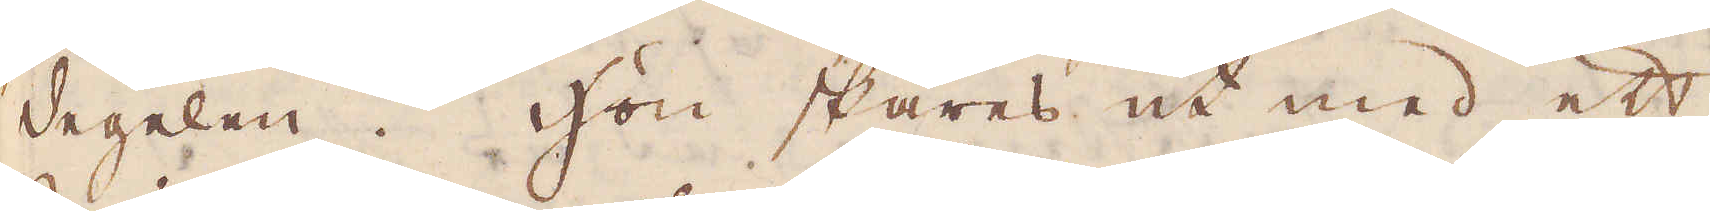degelen. Hon skäres ut med ett
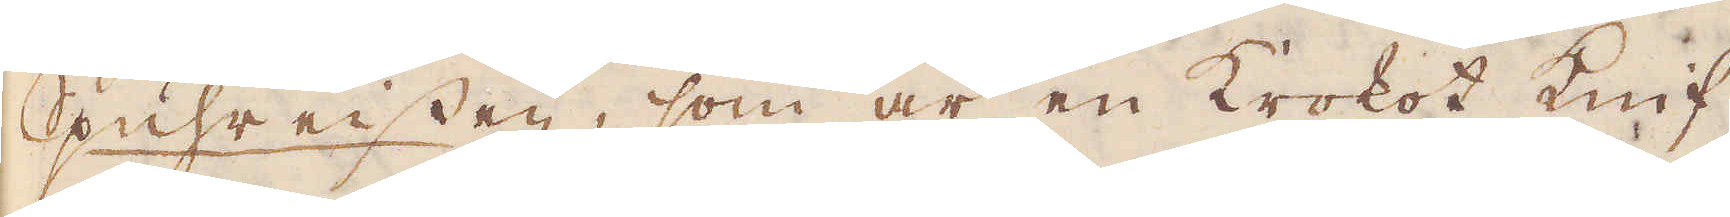Spuhreissen, som är en Krokot knif
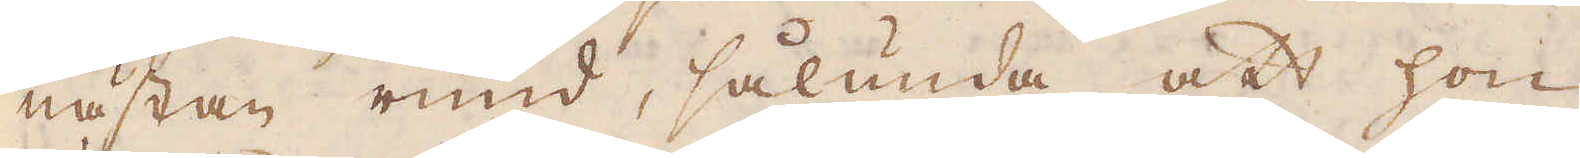nästan rund, sålunda att hon
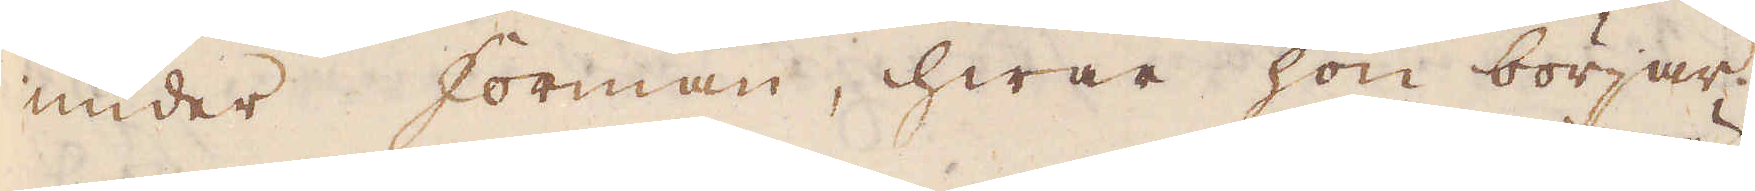under forman, hwar hon börjar,
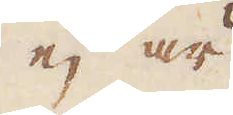ej är
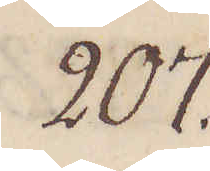207.
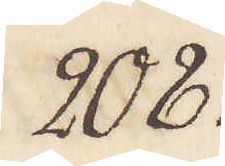208.
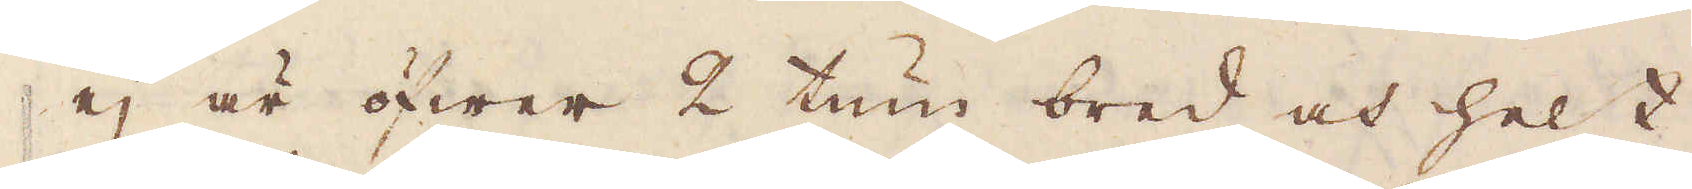ej är öfwer 2 tum bred och helt
